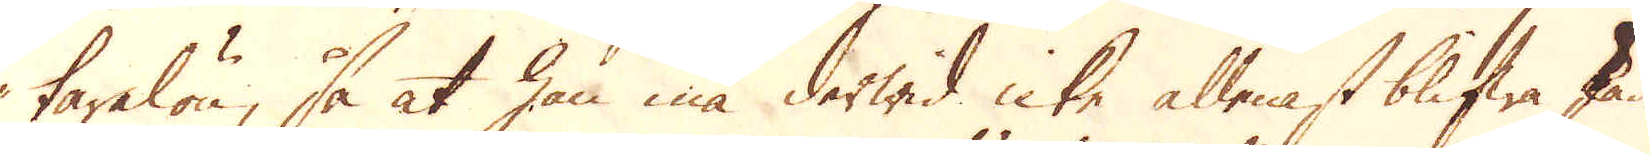tarelön, så at han må derwid icke allenast blifwa skade-
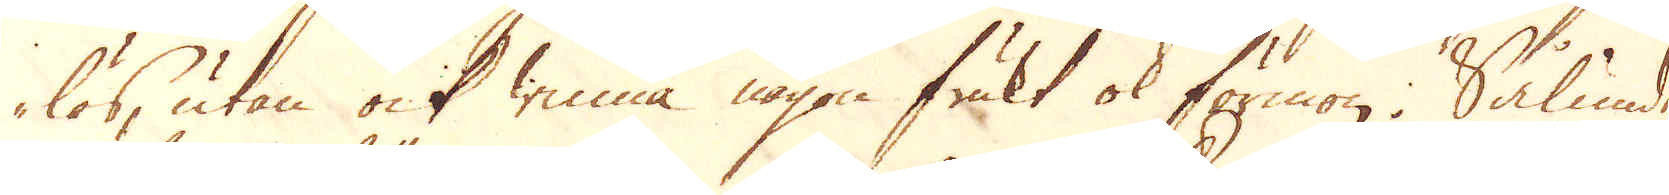lös, utan ock winna någon frukt ok förmon. Sålunde
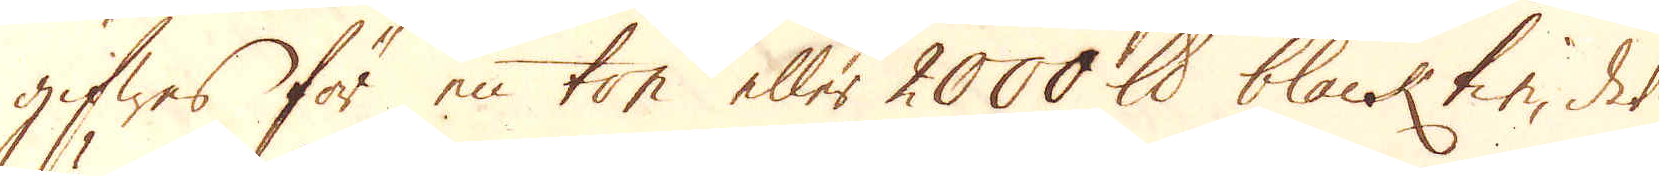gifwes för en ton eller 2000 skålpund black tin, det
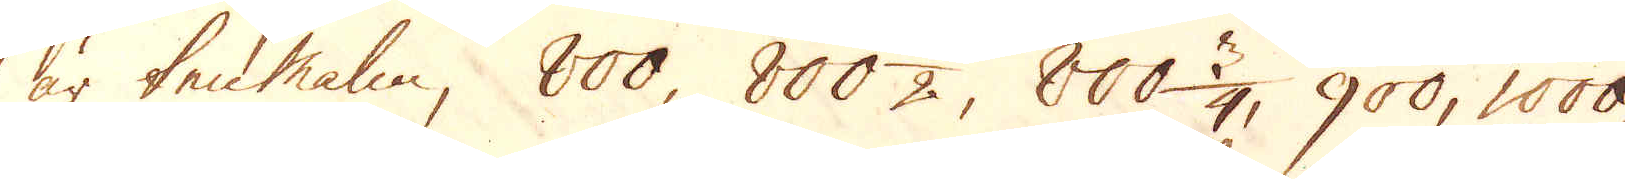är ten malm, 800, 800 1/2, 800 3/4, 900, 1000
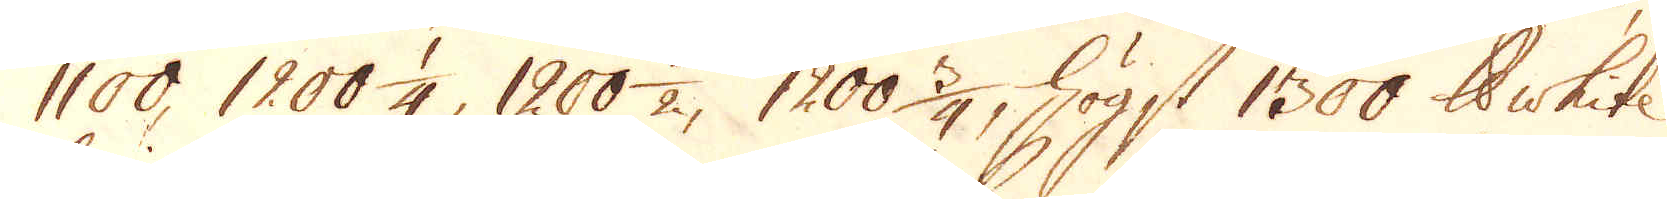1100, 1200 1/4 1200 1/2, 1200 3/4, högst 1300 skålpund white
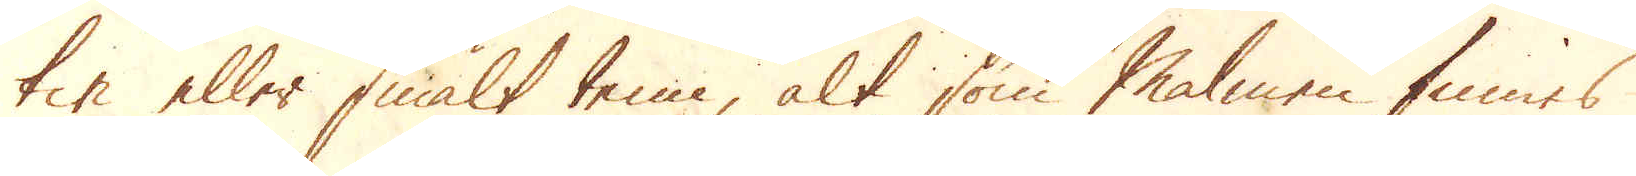tin eller smält tenn, alt som Malmen finnes
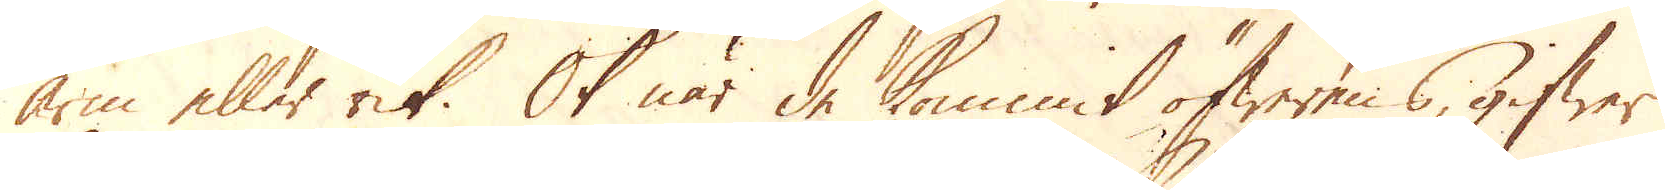arm eller rik. Ok när de kommit öfwerens, gifwer
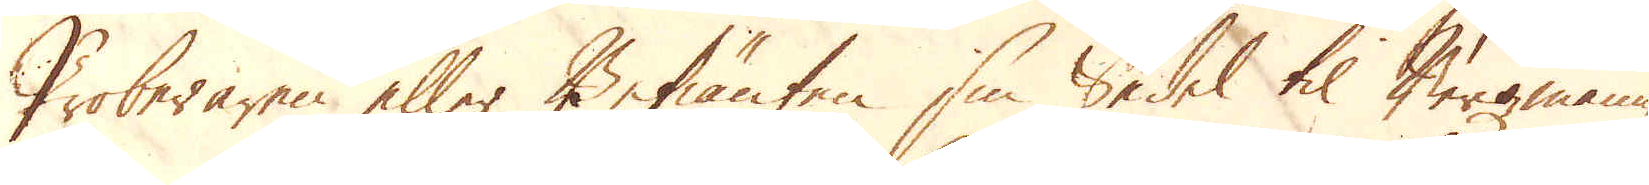Proberaren eller Betiänten sin Sedel til Bergmannen
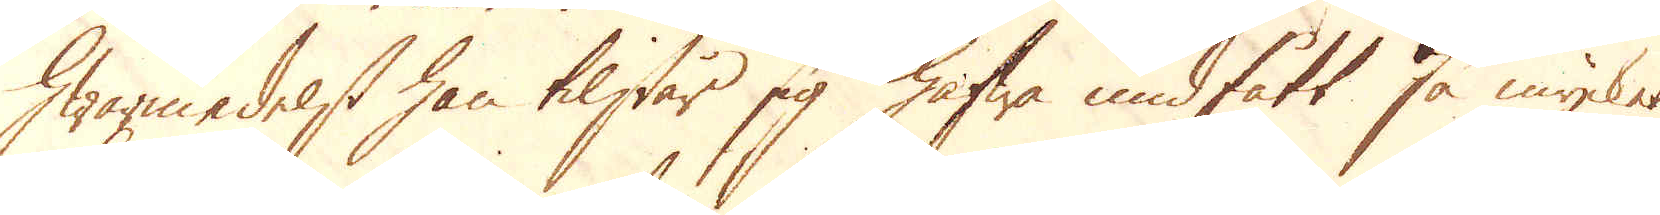Hwarmedelst han tilstår sig hafwa undfått så mycket
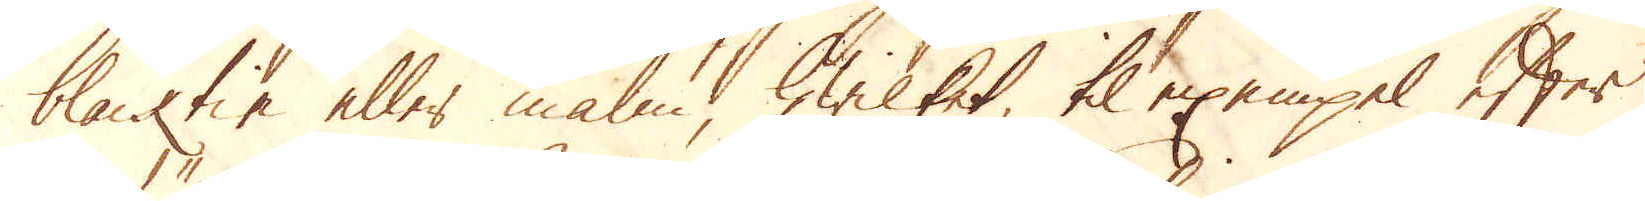blacktin eller malm, hwilket til exempel efter
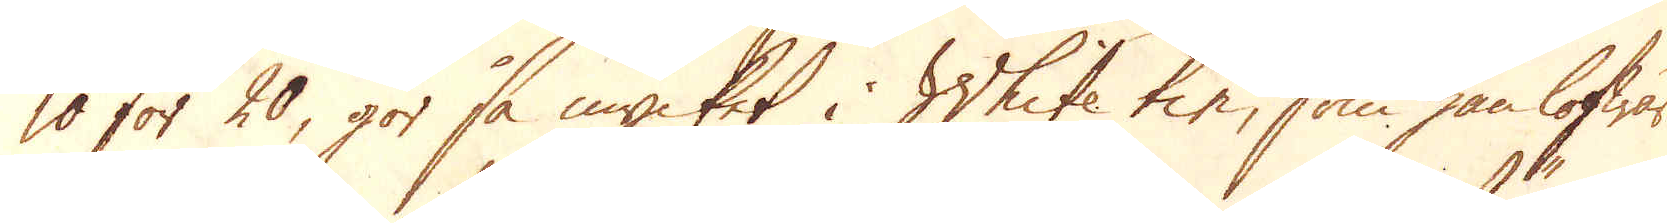10 för 20, gör så mycket i White tin, som han lofwar
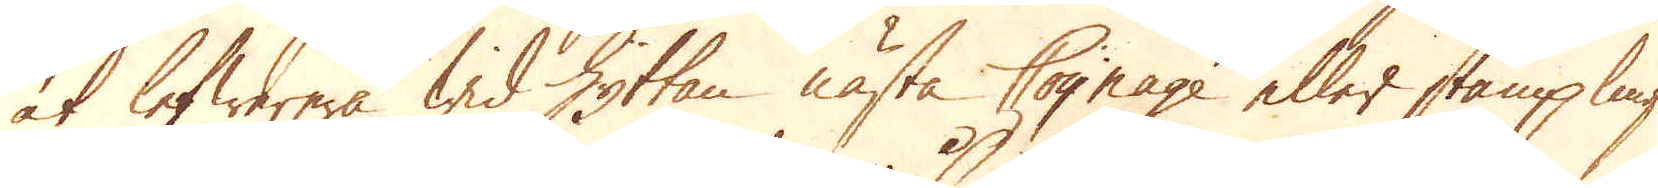at lefwerera wid Hyttan nästa Coynage eller stämplings
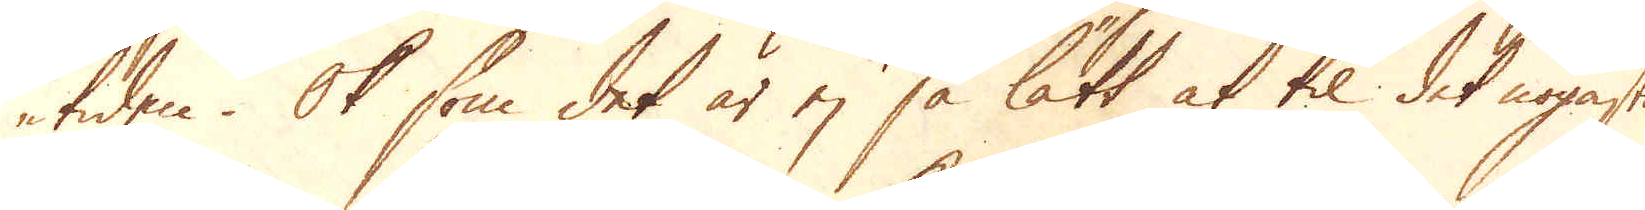tiden. Ok som det är ej så lätt at til det nogaste
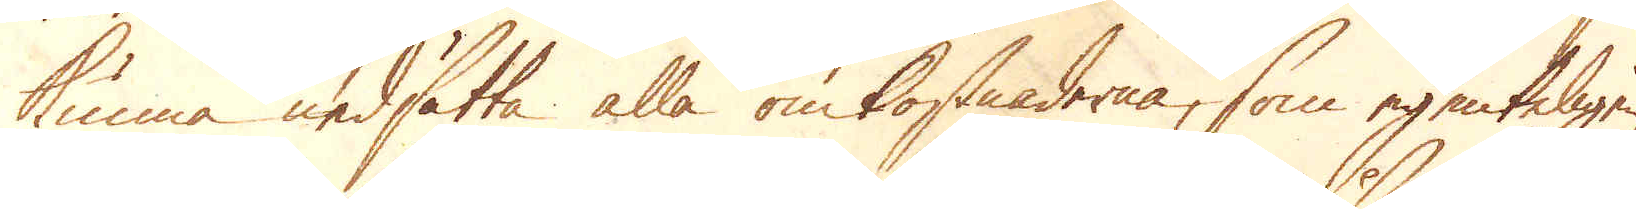kunna nedsätta alla omkostnaderna, som egenteligen
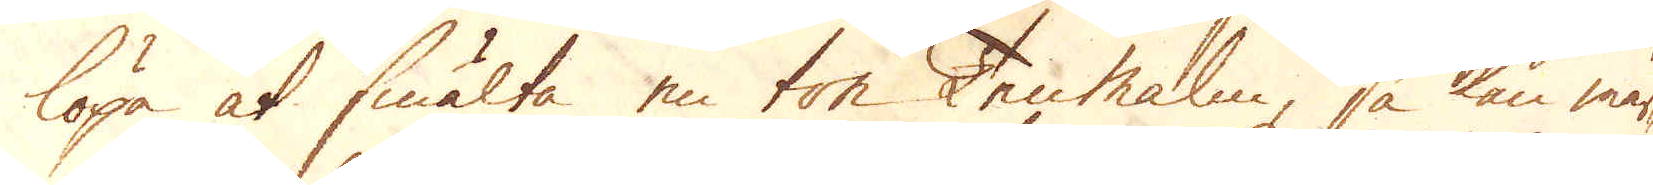löpa at smälta en ton Tenmalm, så kan mär-
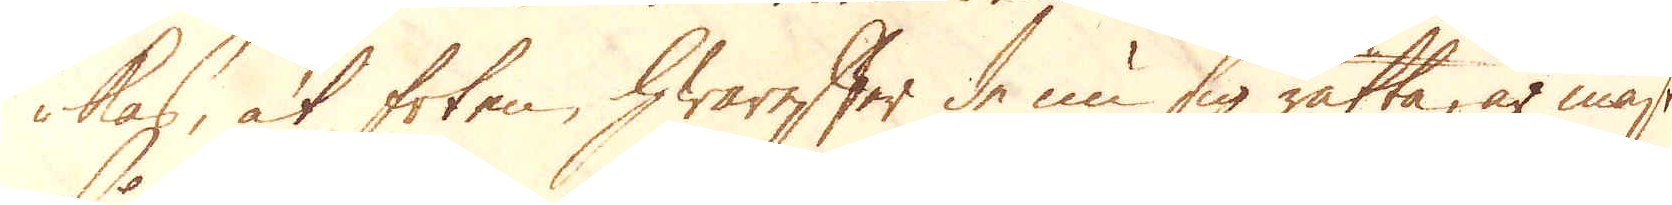kas, at foten, hwarefter de nu sig rätta, är mäst
